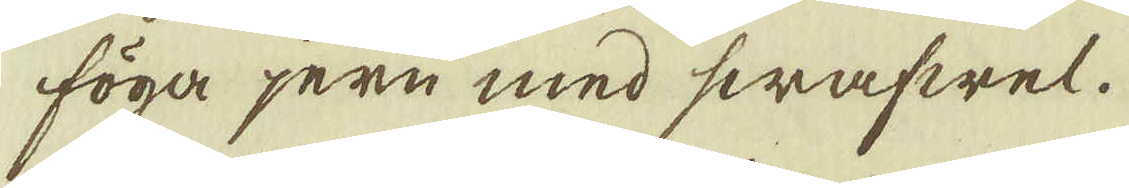föga jern med swafwel.
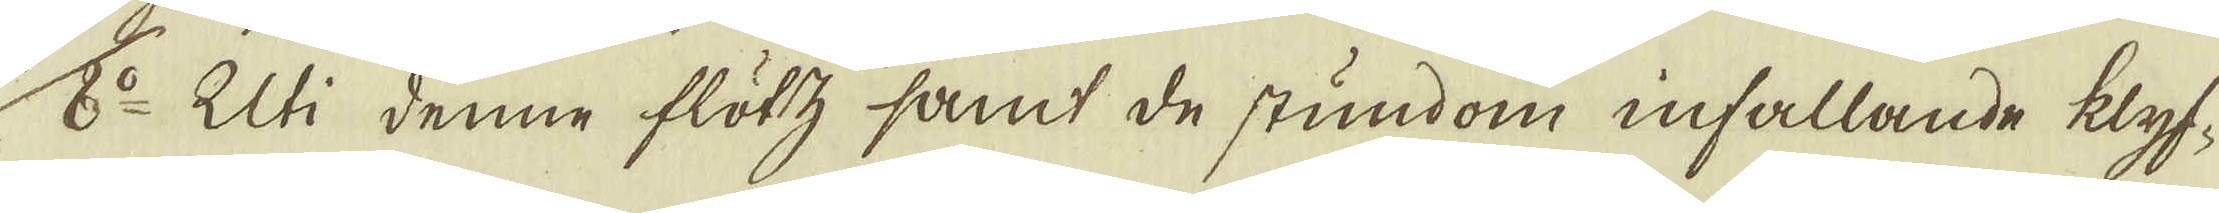8:o Uti denne flötz samt de stundom infallande klyf-
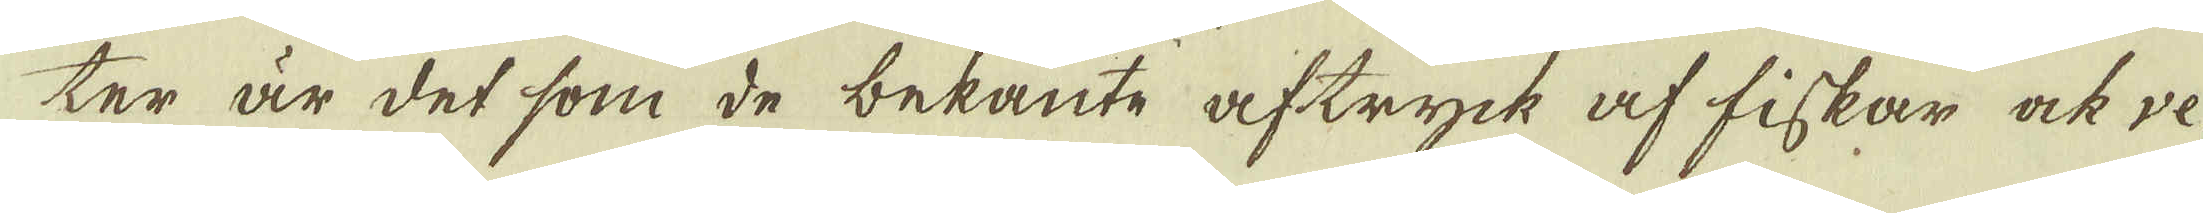ter är det som de bekante aftryck af fiskar ock ve-
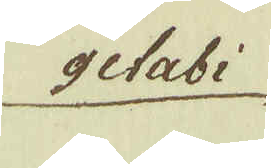getabi
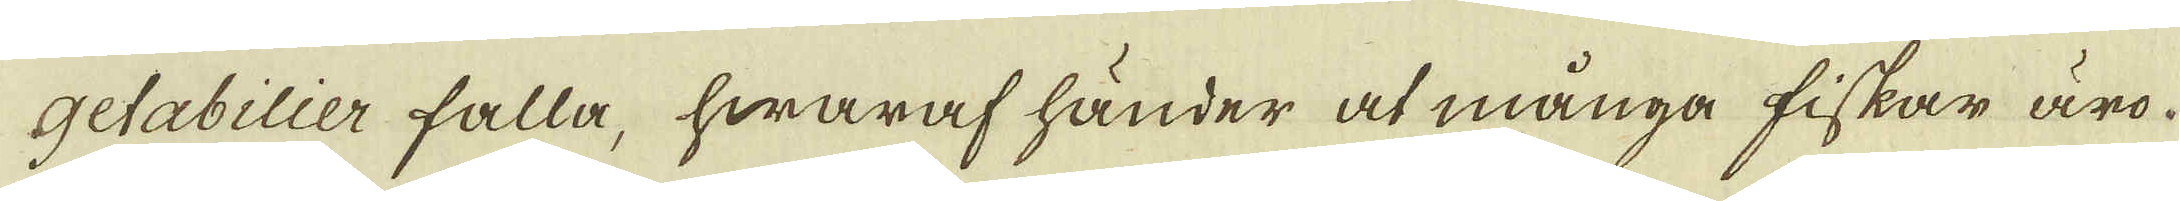getabilier falla, hwaraf händer at många fiskar äro
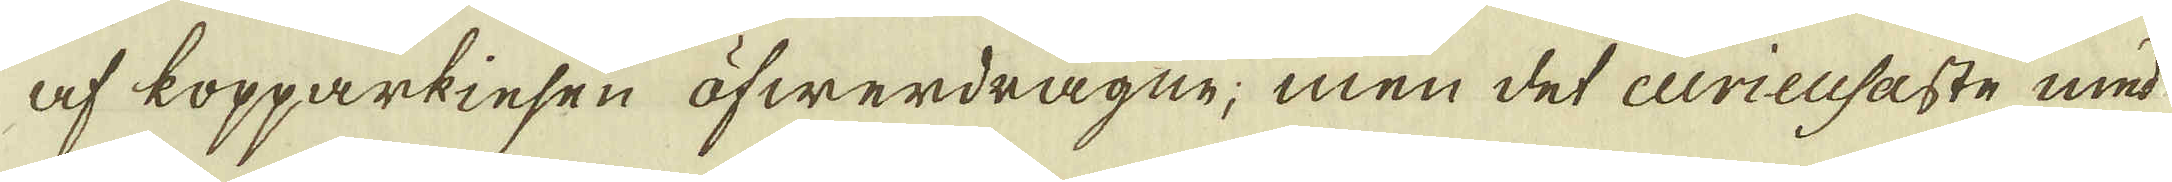af kopparkiesen öfwerdragne; men det curieusaste med
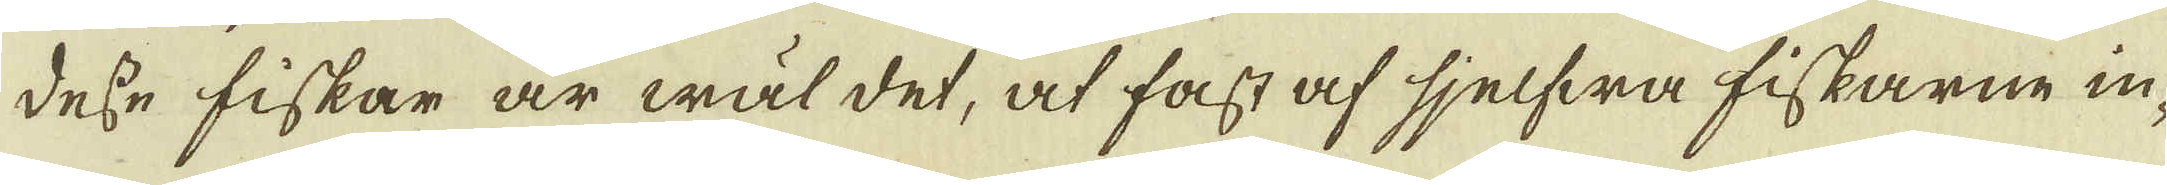desse fiskar är wäl det, at fast af sjelfwa fiskarne in-
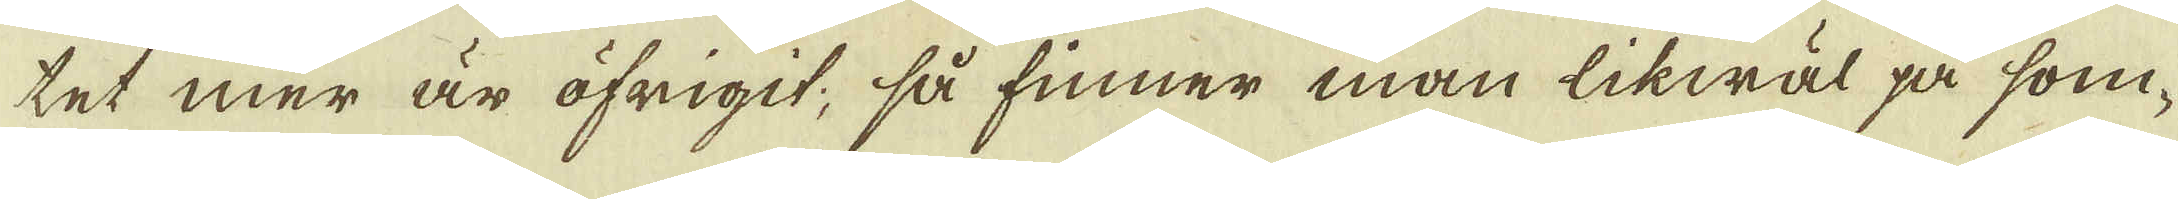tet mer är öfrigit, så finner man likwäl på som-
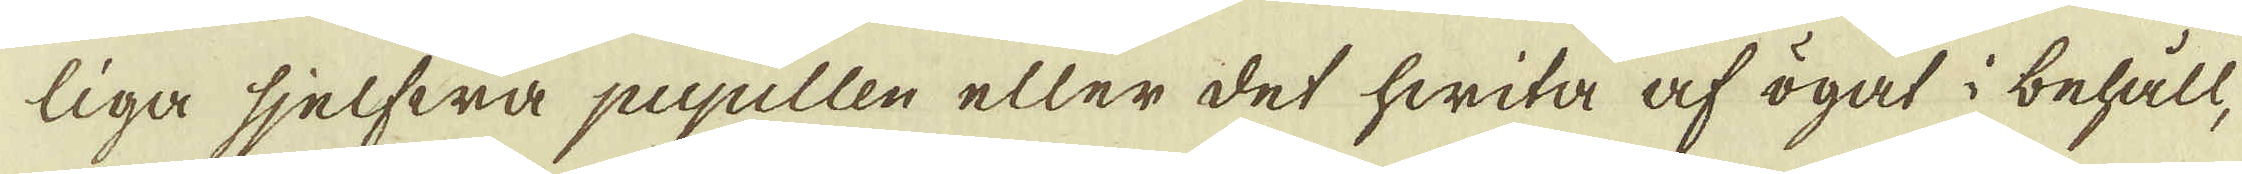liga sjelfwa pupillen eller det hwita af ögat i behåll,
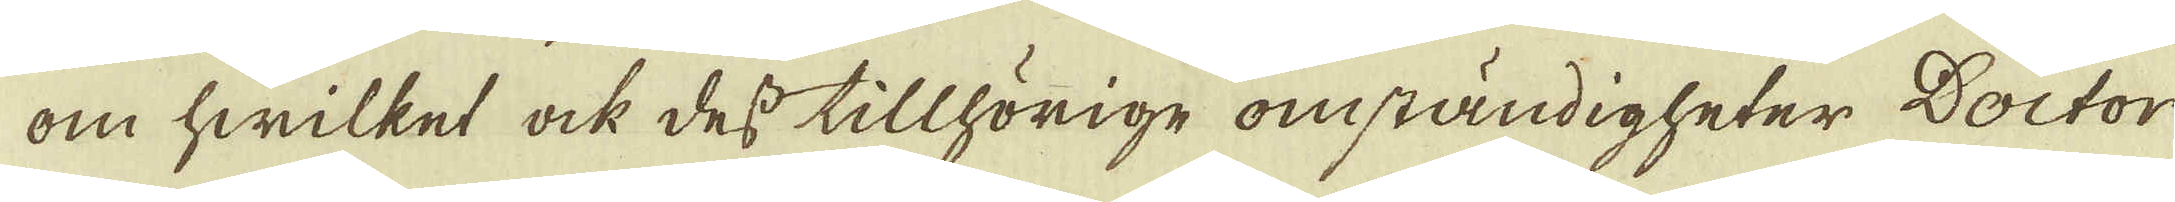om hwilket ock dess tillhörige omständigheter Doctor
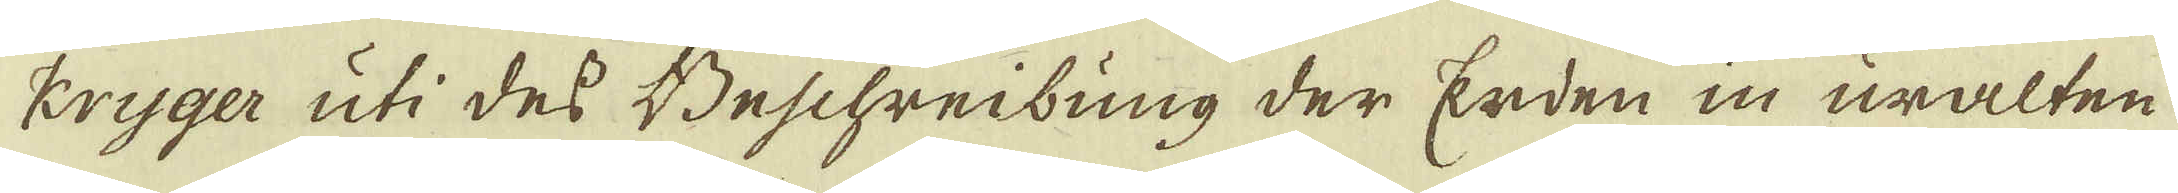Kryger uti dess Beschreibung der Erden in uralten
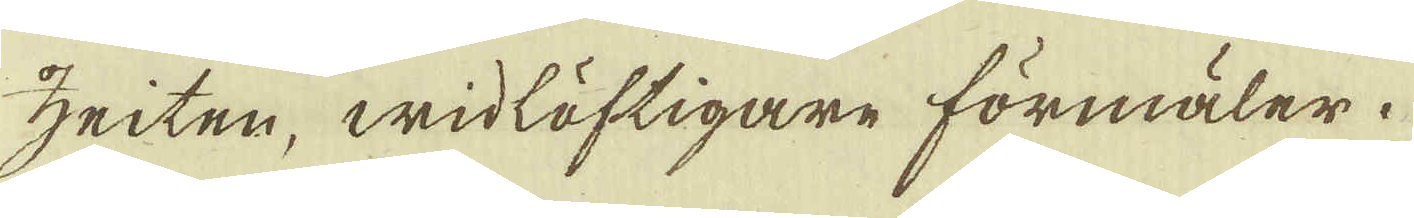Zeiten, widlöftigare förmäler.
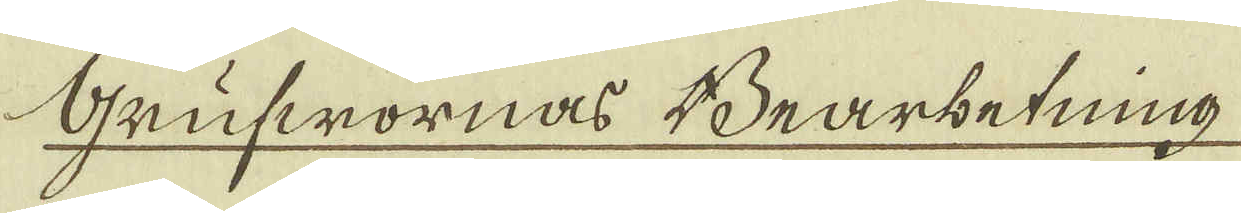Grufwornas Bearbetning
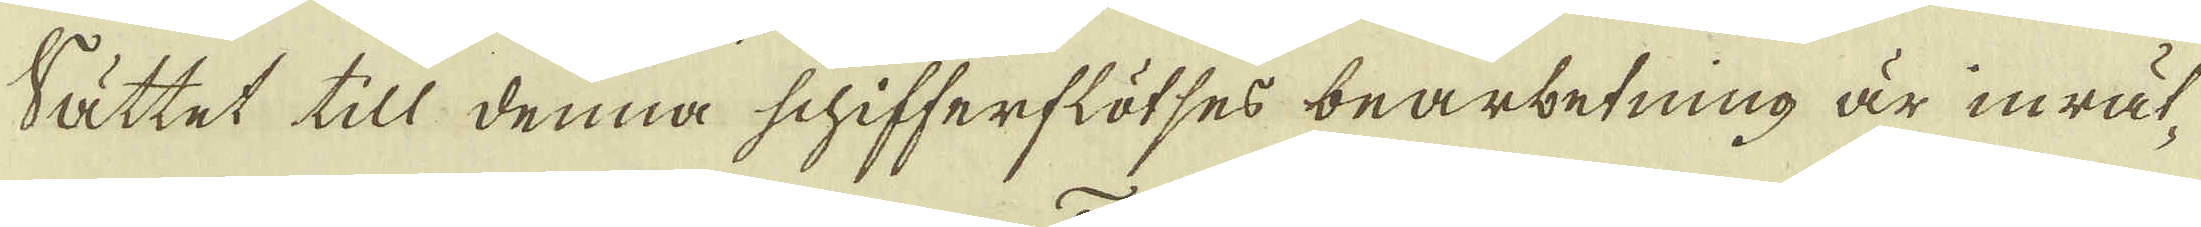Sättet till denna schifferflötses bearbetning är inrät-
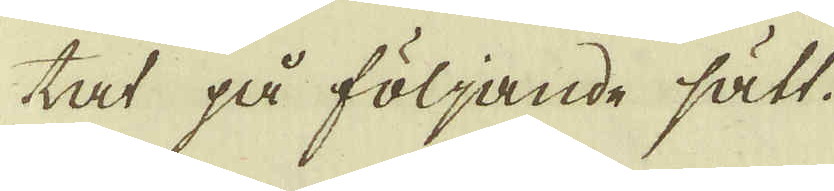tat på följande sätt.
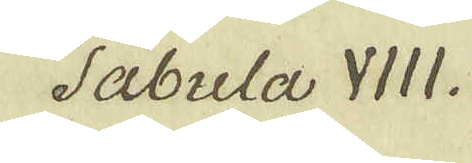Tabula VIII.
